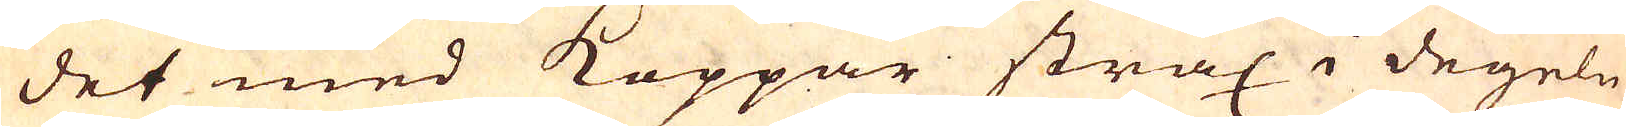det med Koppar strax i degeln
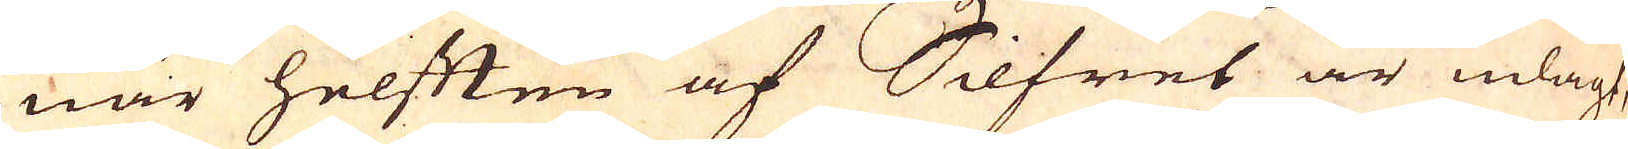när helften af Silfret är inlagt,
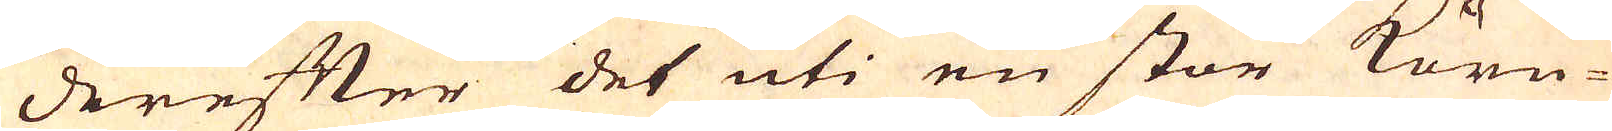derefter det uti en stor kärn-
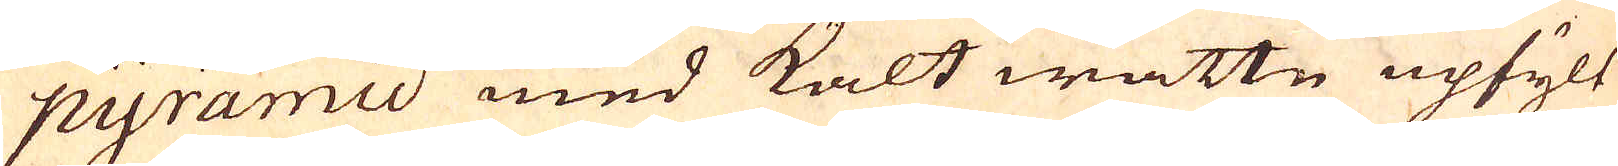pyramid med kalt wattn upfylt
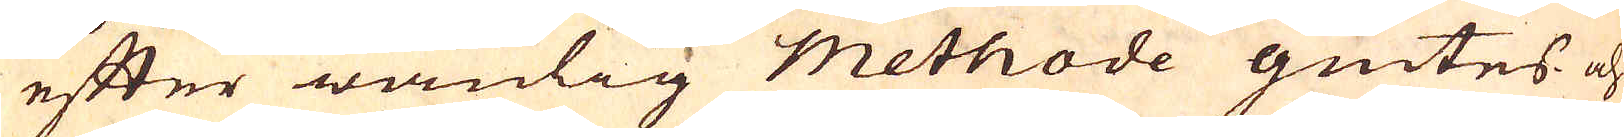efter wanlig methode giutes och
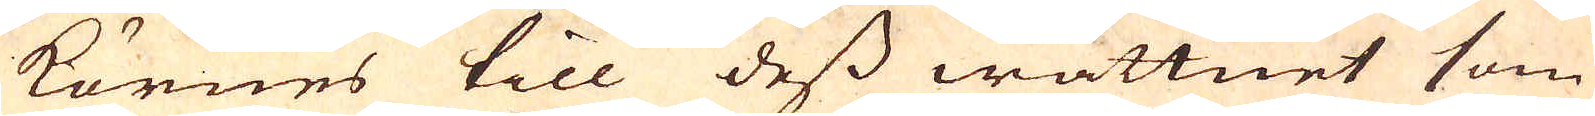körnes till dess wattnet som
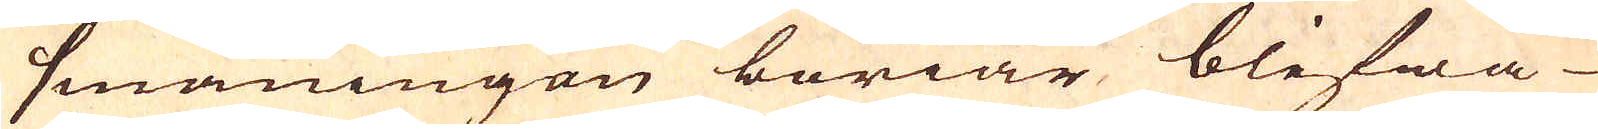småningen böriar blifwa
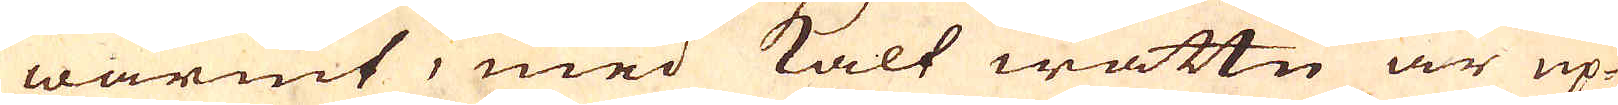wärmt, med kalt wattn är up-
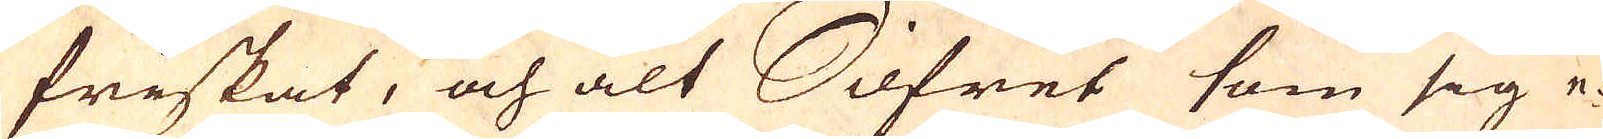friskat, och alt Silfret som sig e-
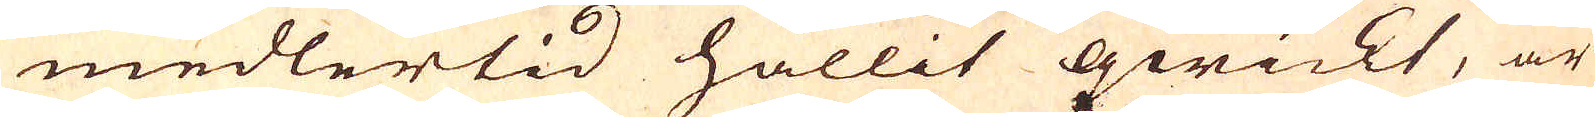medlertid hållit qwickt, är
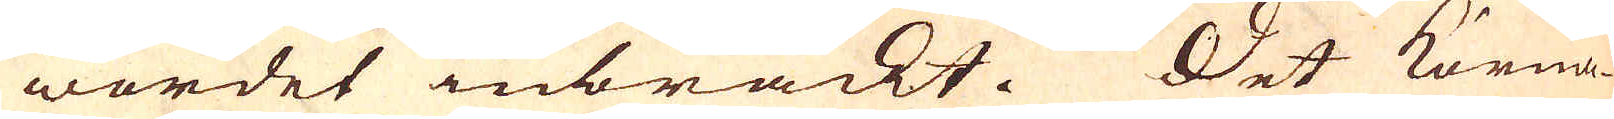wordet inbräckt. Det korna-
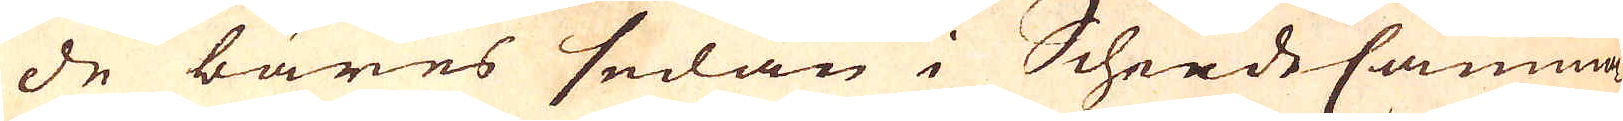de bäres sedan i ScheideCamma-
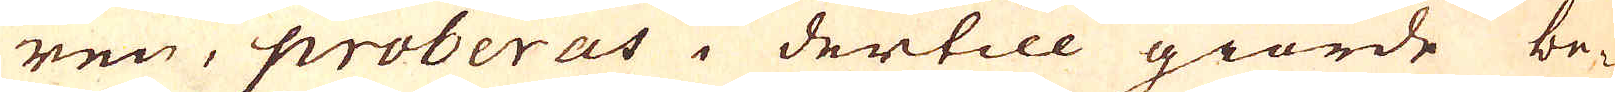ren, proberas i dertill giorde be-
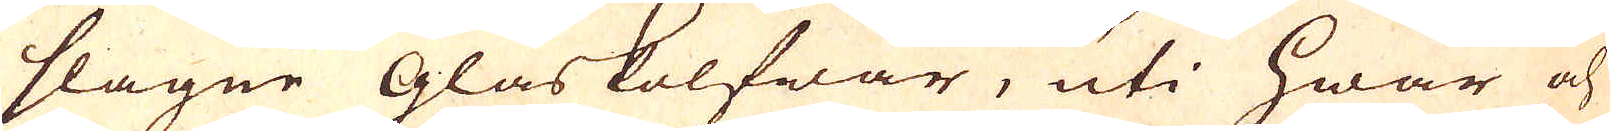slagne glaskolfwar, uti hwar och
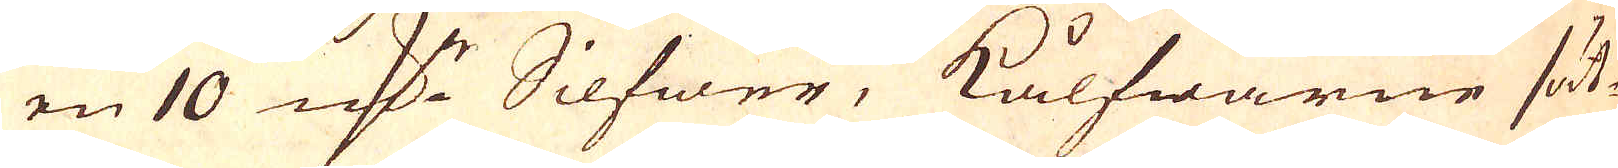en 10 mark Silfwer, Kålfwarne sät-
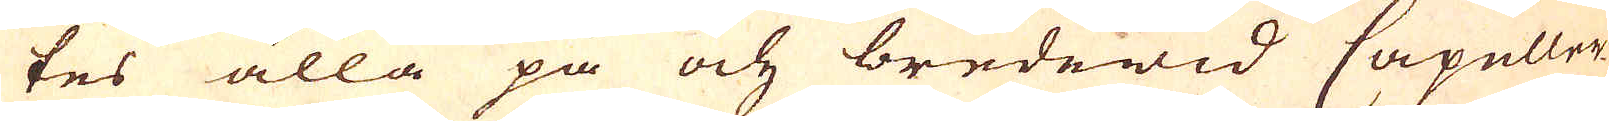tes alla på och bredewid Capeller-
